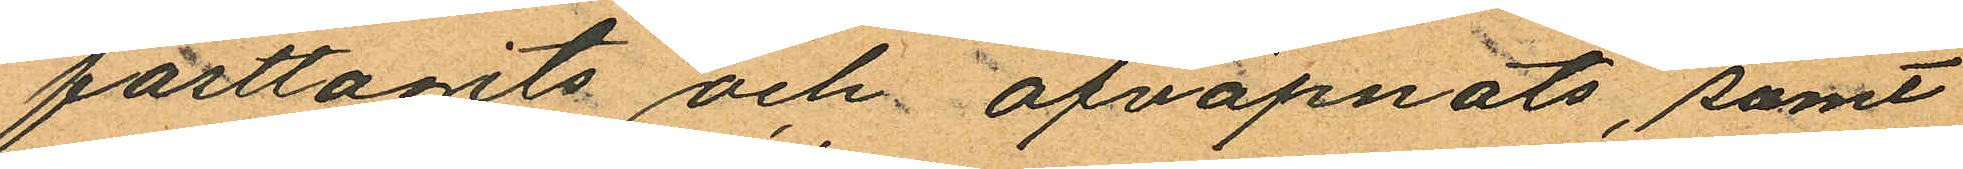fasttagits och afväpnats, samt
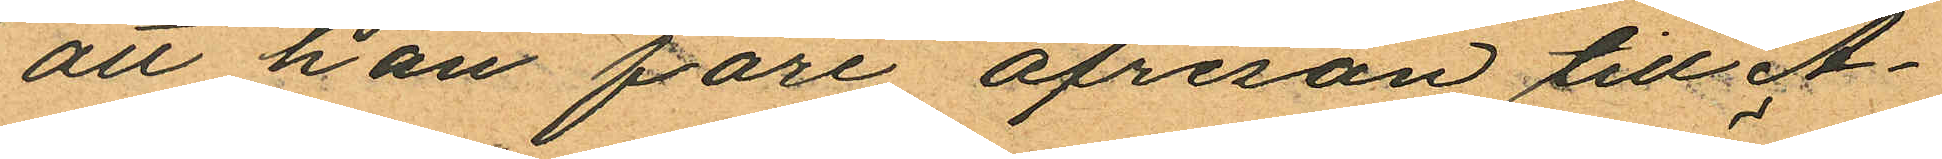att han före afresan till A¬
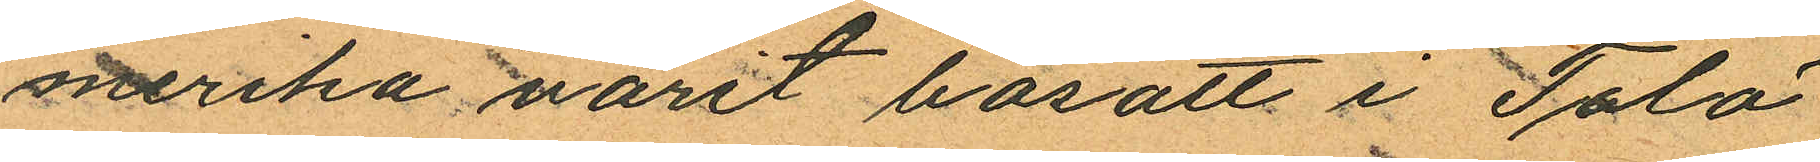merika varit bosatt i Tölö
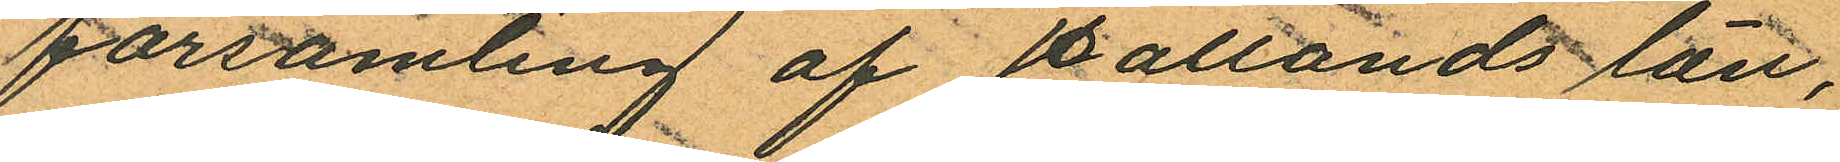församling af Hallands län,
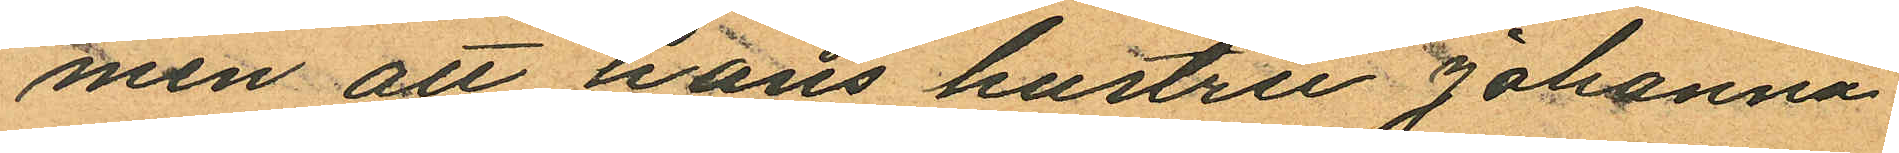men att hans hustru Johanna
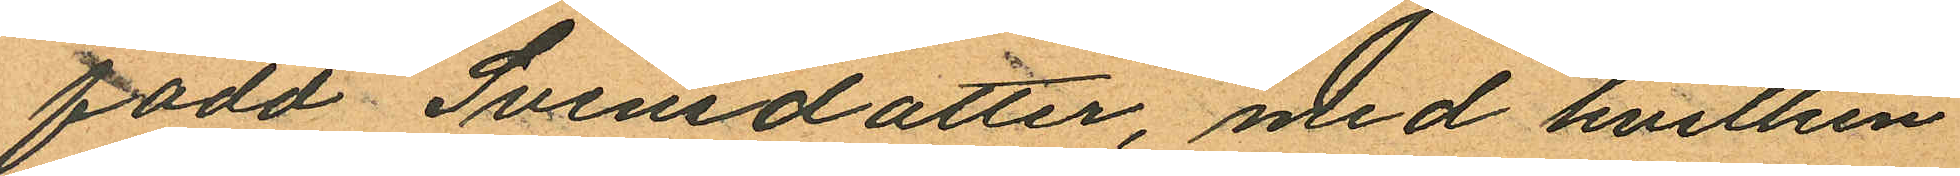född Svensdotter, med hvilken
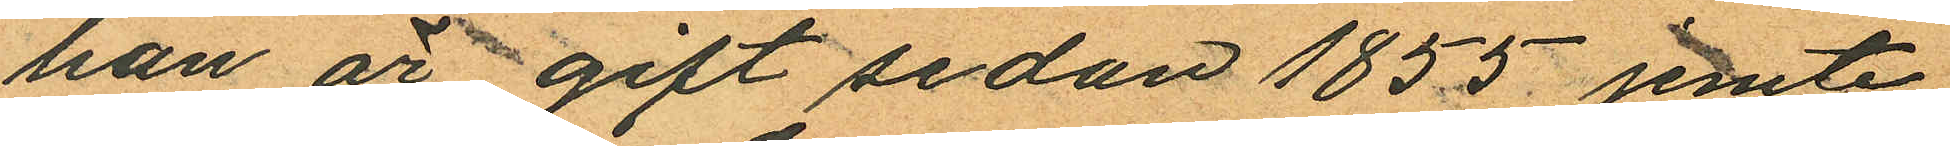han är gift sedan 1855 jemte
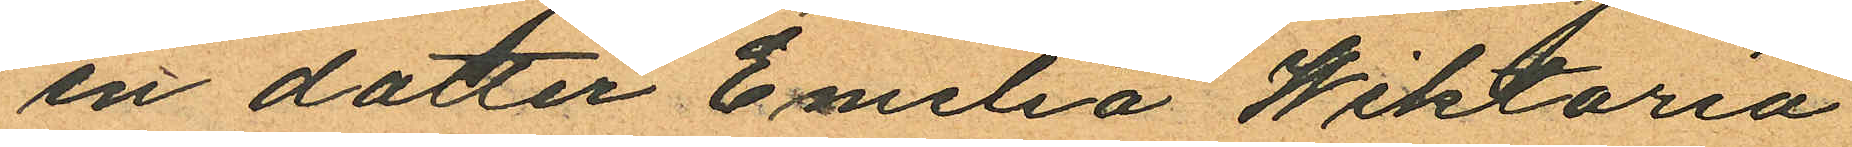en dotter Emilia Wiktoria
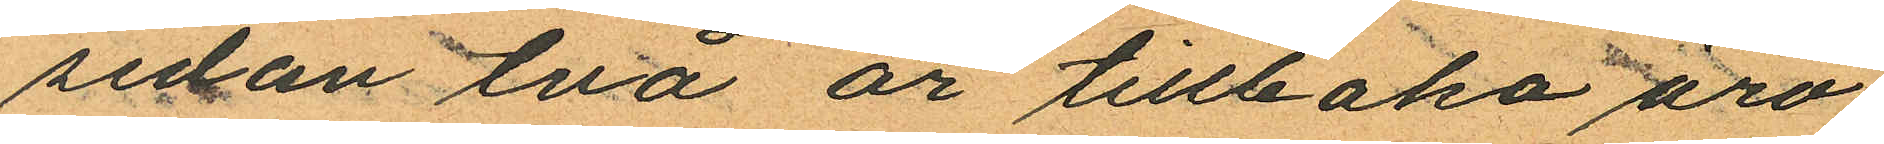sedan två år tillbaka äro
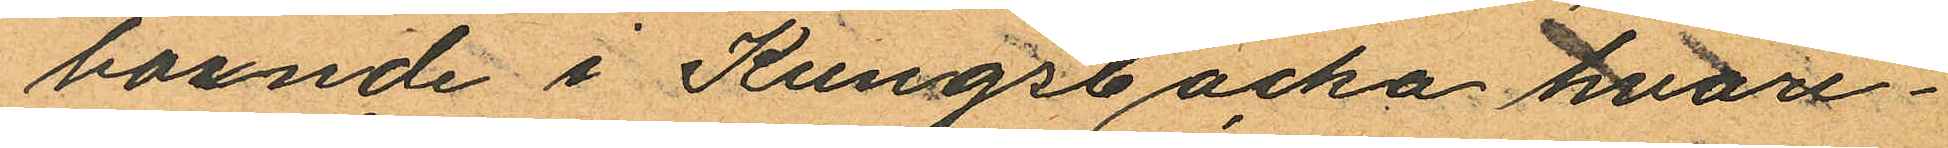boende i Kungsbacka hvare¬
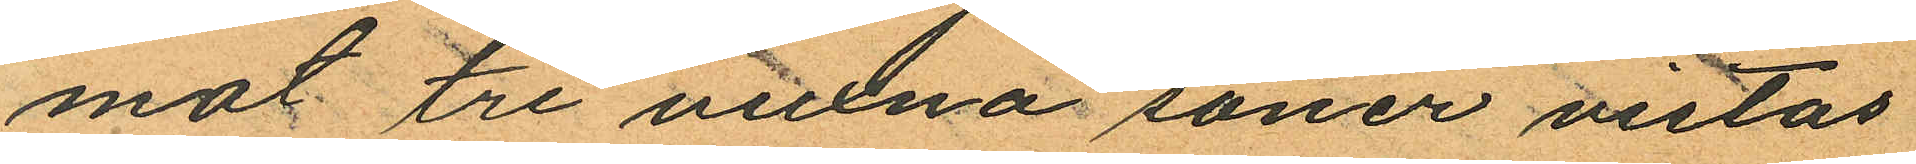mot tre vuxna söner vistas
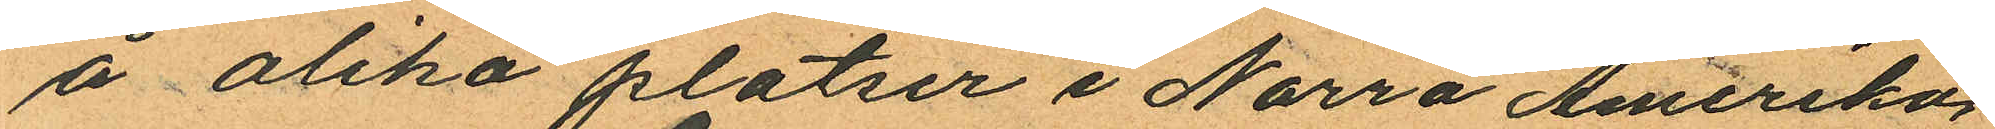å olika platser i Norra Amerika.
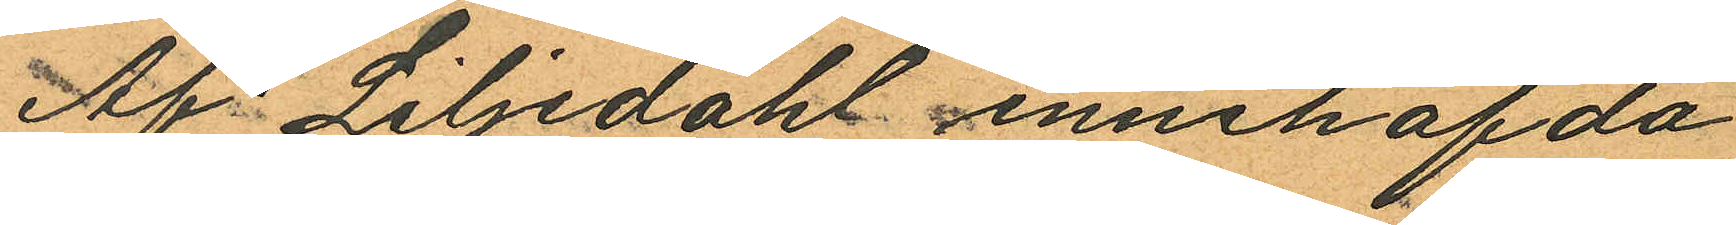Af Liljedahl innehafda
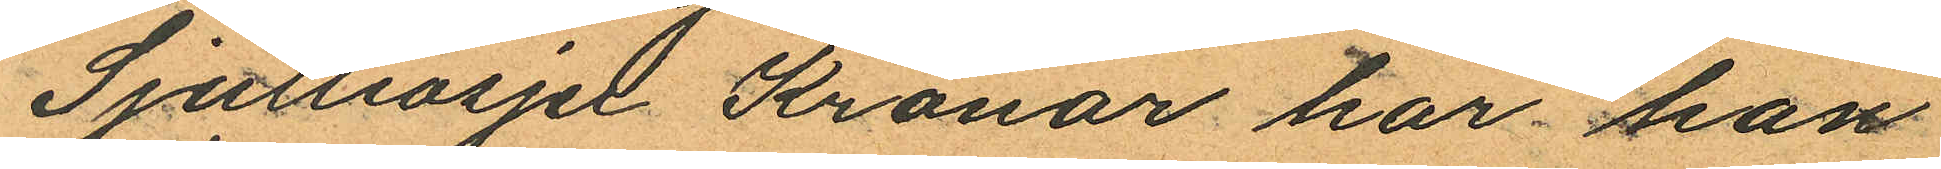Sjuttiosju Kronor har han
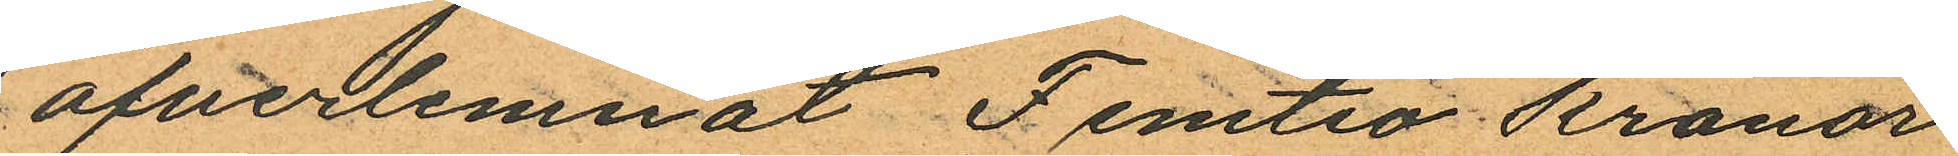öfverlemnat Femtio kronor
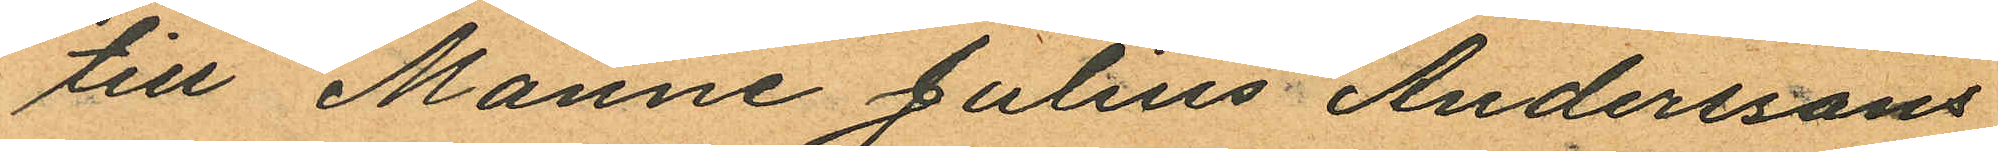till Manne Julius Anderssons
